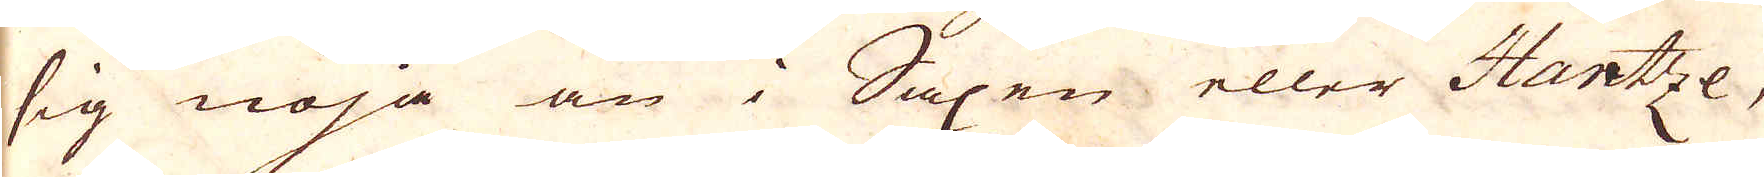sig nöja än i Saxen eller Hartze,
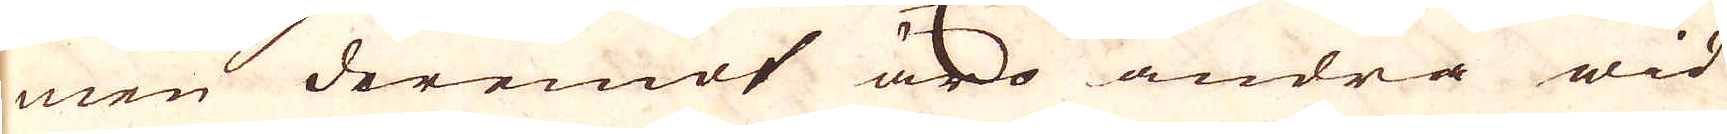men deremot äro andra wid
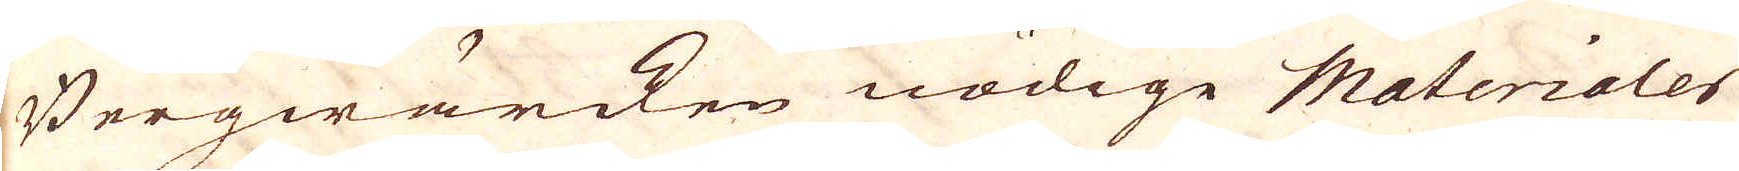Bergwärcken nödige Materialer
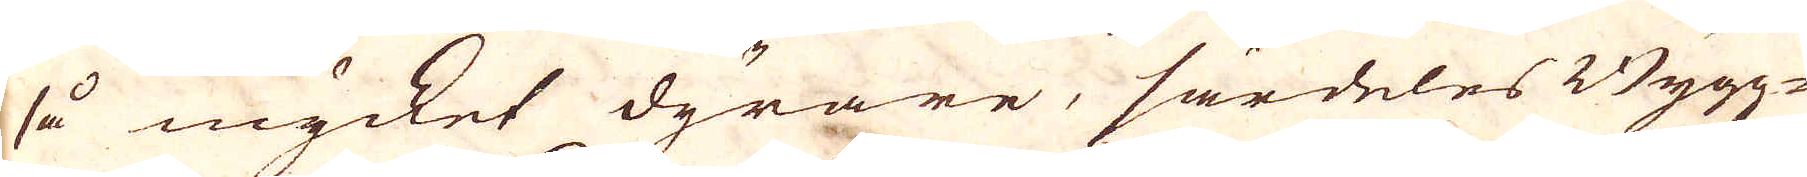så mycket dyrare, särdeles Bygg-
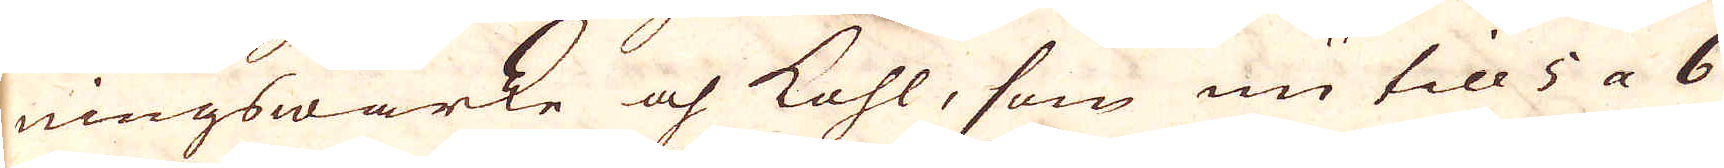ningswärke och kohl, som nu till 5 a 6
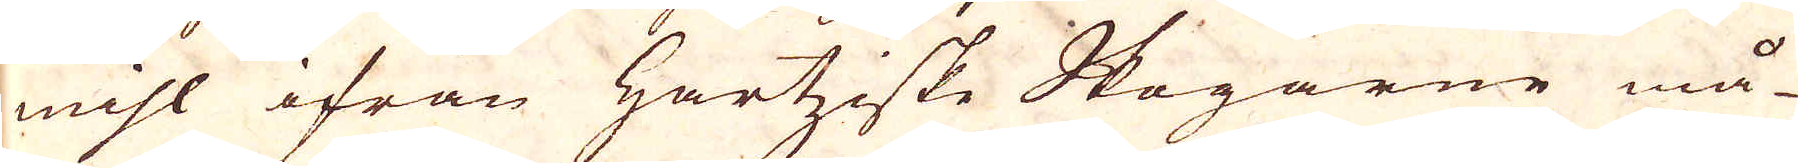mihl ifrån Hartiske Skogarne må-
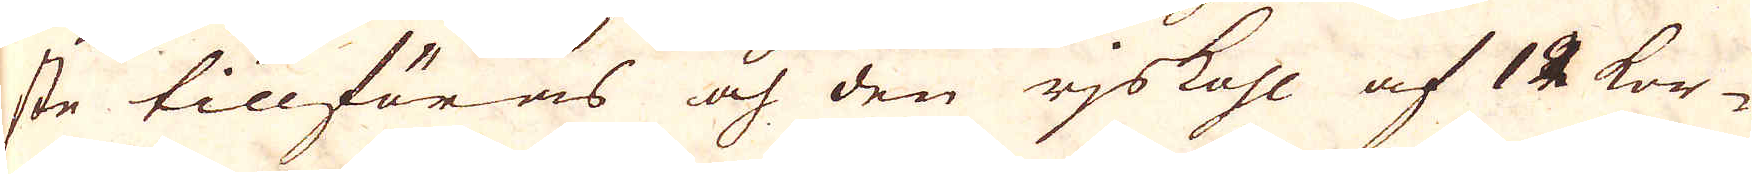ste tillföras och den rjskohl af 12 kor-
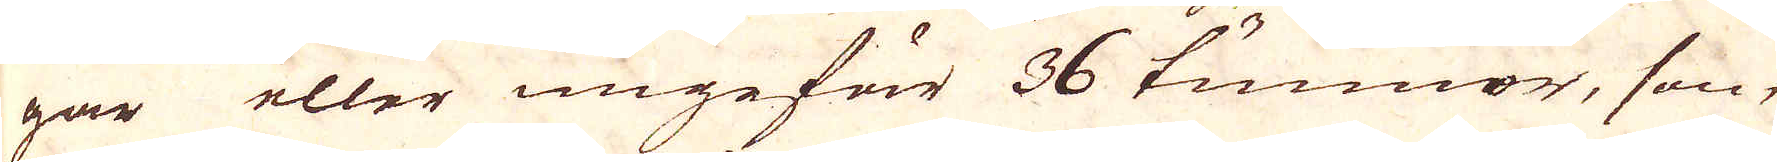gar eller ungefär 36 tunnor, som
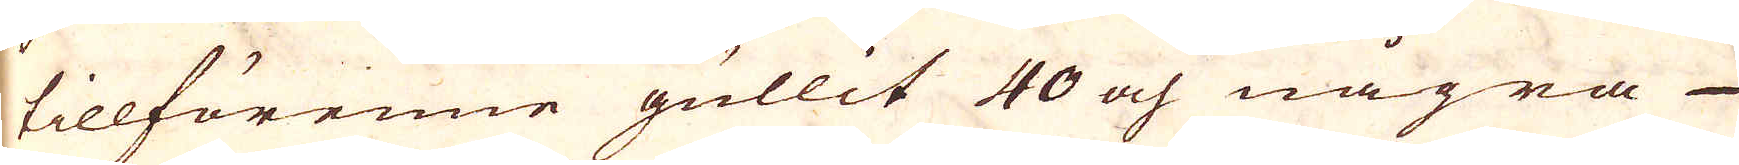tillförenne gullit 40 och några
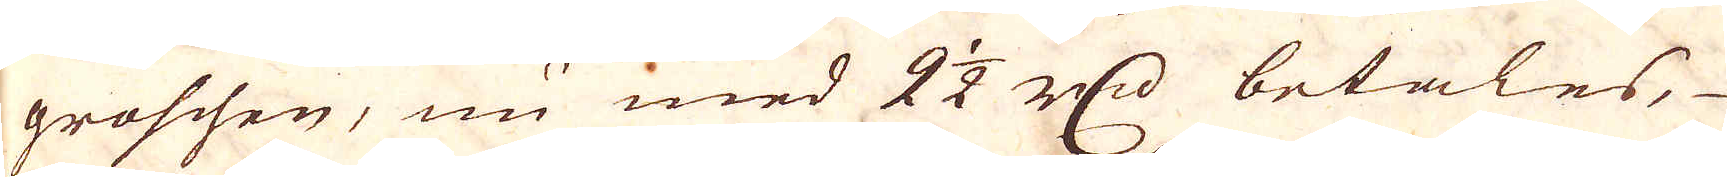grossen, nu med 2 1/2 r:d betales,
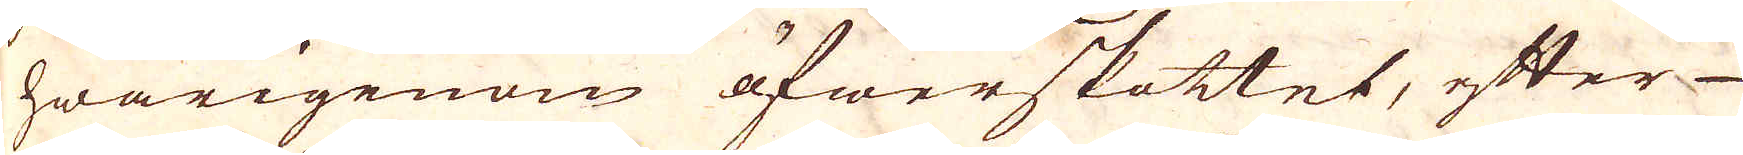hwarigenom öfwerskottet, efter
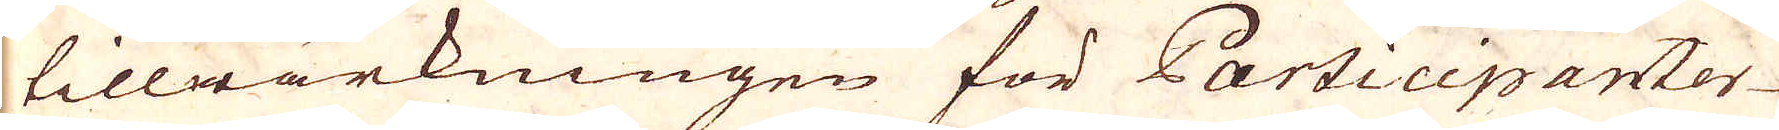tillwärkningen för Participanter-
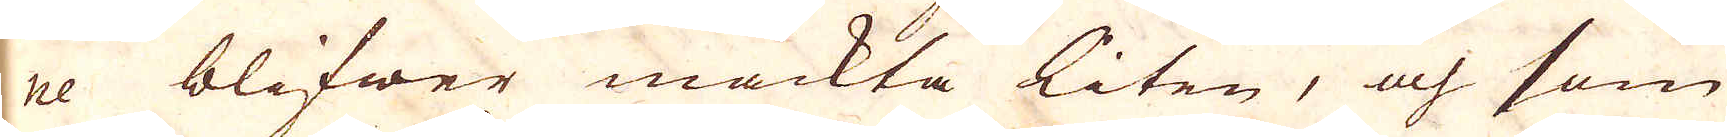ne blifwer mäckta liten, och som
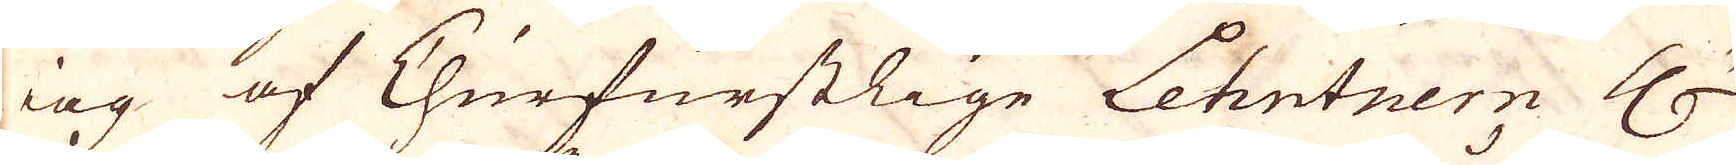iag af Churfurstlige Lehntnern Hr
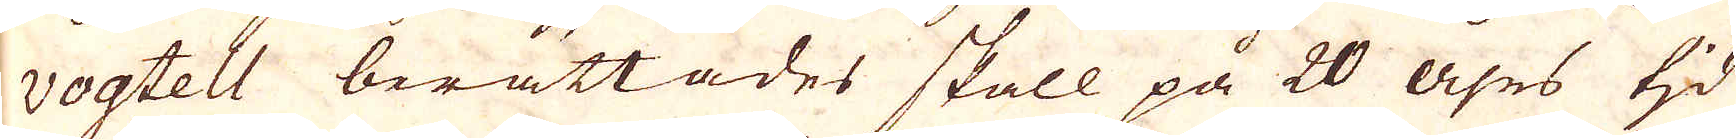vogtell berättades skall på 20 åhrs tid
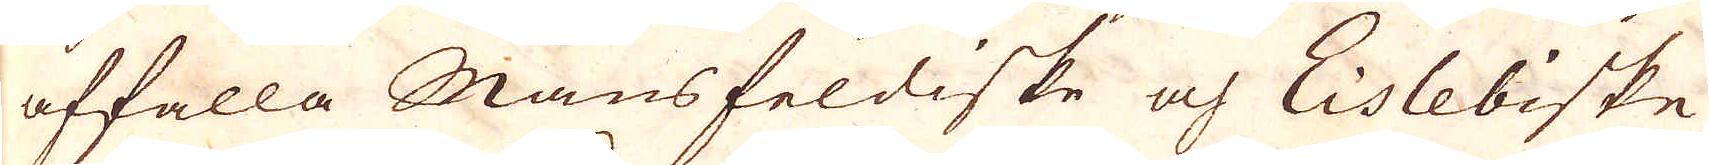affalla Mansfeldiske och Eislebiske
